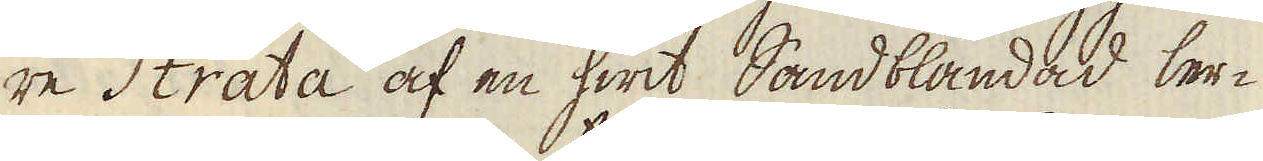re Strata af en hwit Sandblandad ler-
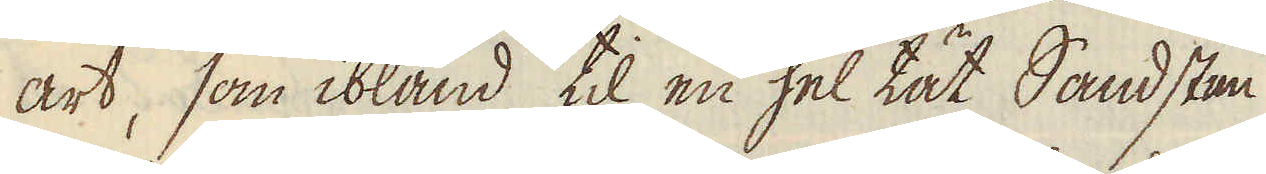art, som ibland til en hel tät Sandsten
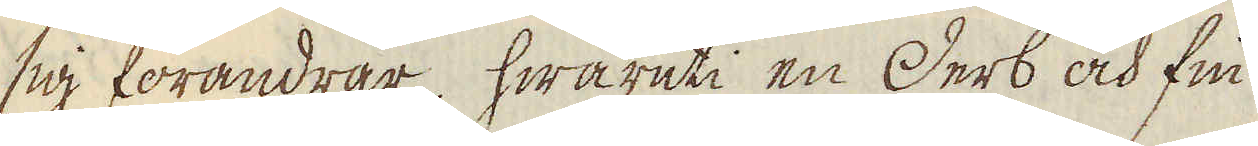sig förändrar, hwaruti en Derb och fin
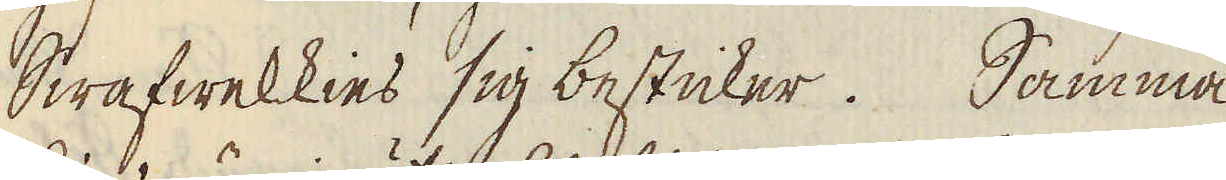Swafwelkies sig besticker. Samma
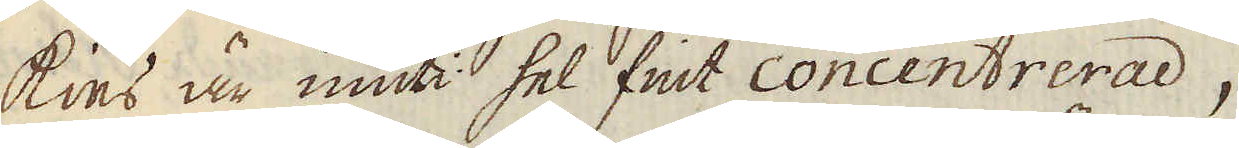kies är inuti hel fint concentrerad,
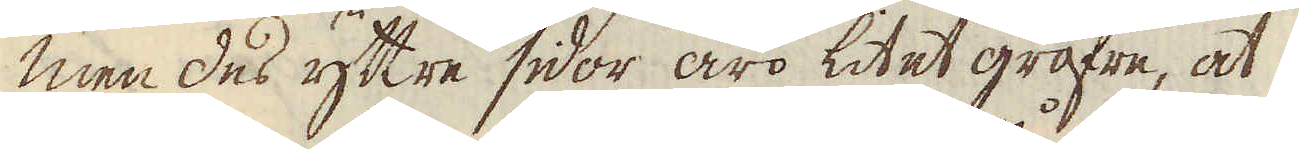men des yttre sidor äro litet gröfre, at
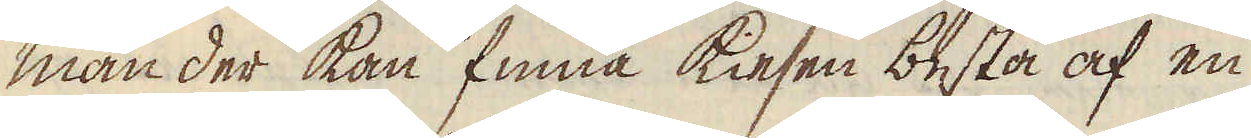man der kan finna kiesen bestå af en
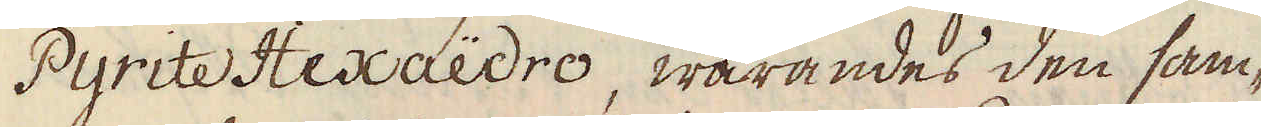Pyrite Hexaëdro, warandes den sam-
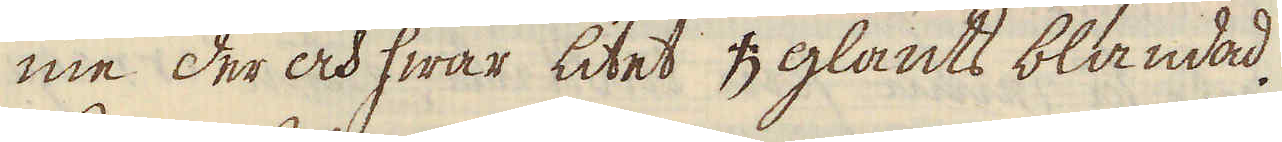me der och hwar litet ♄ glants blandad.
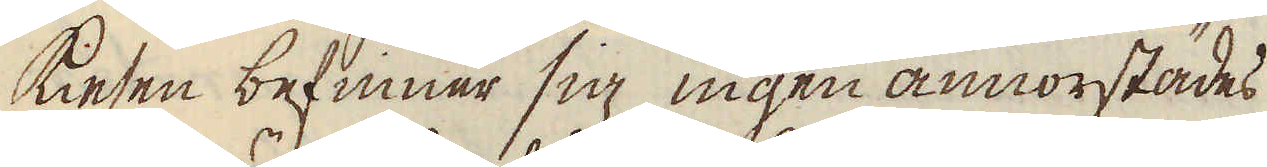Kiesen befinner sig ingen annorstädes
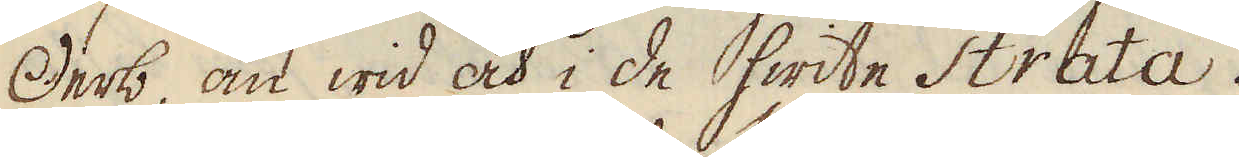Derb, än wid och i de hwite Strata.
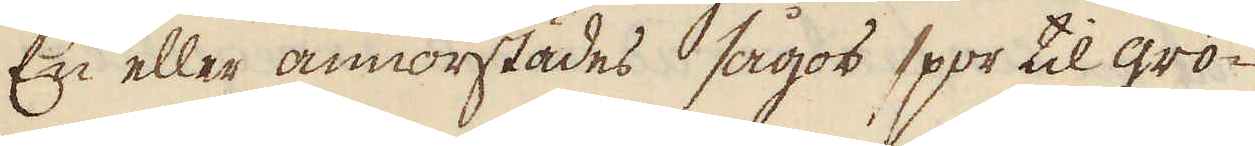En eller annorstädes sågos spor til grö-
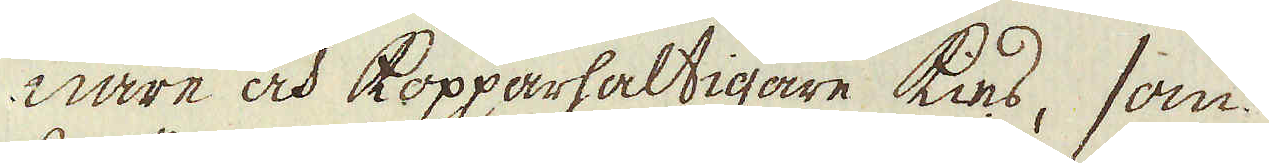nare och kopparhaltigare kies, som
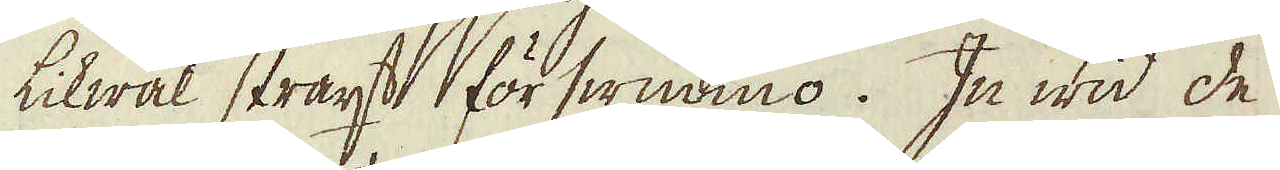likwäl straxt förswunno. In wid de
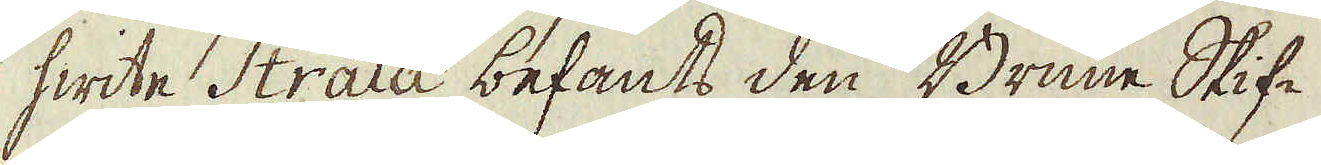hwite Strata befants den Brune Skif-
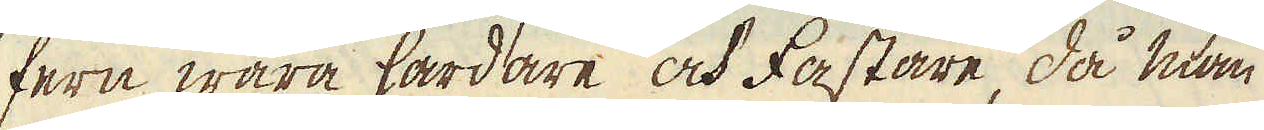fern wara hårdare och fastare, då man
